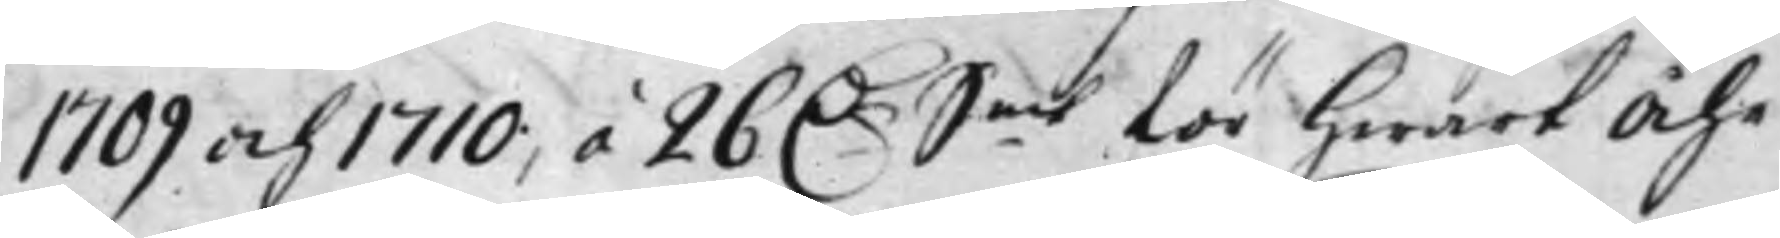1709 och 1710, á 26 D.r S.mt för hwart Åhr
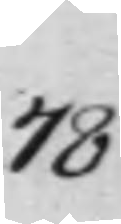78
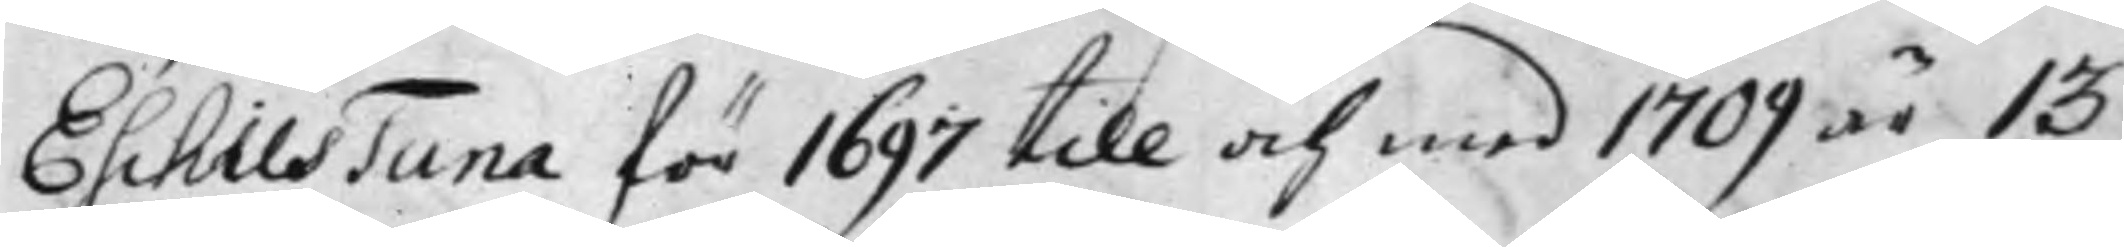Eschils Tuna för 1697 till och med 1709 är 13
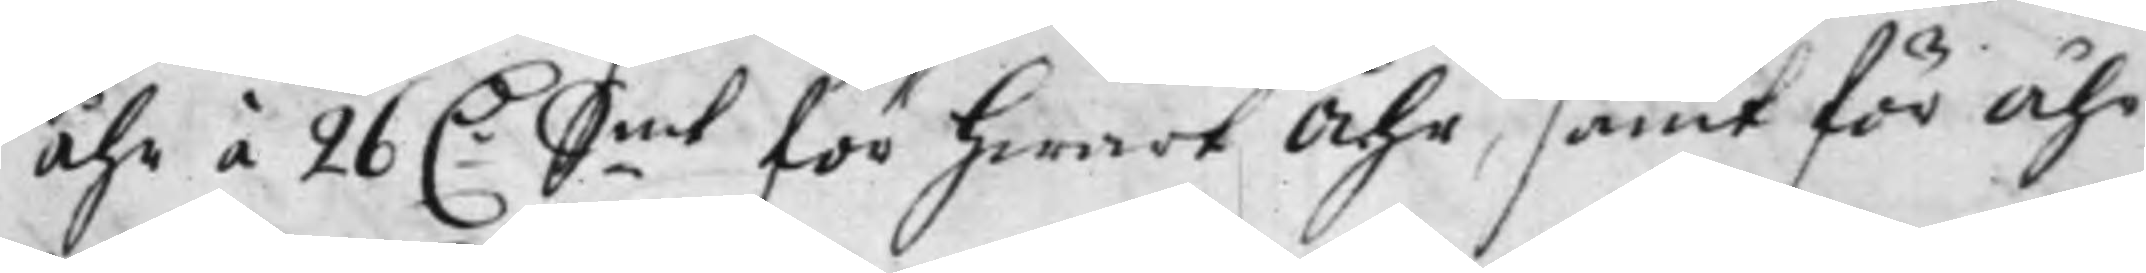Åhr á 26 D:r S.mt för hwart Åhr, samt för Åhr
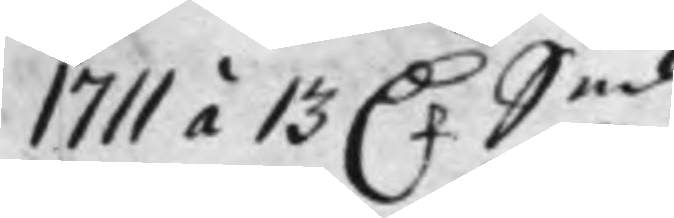1711 á 13 D.r S.mt
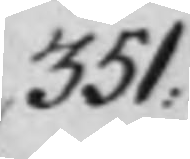351:
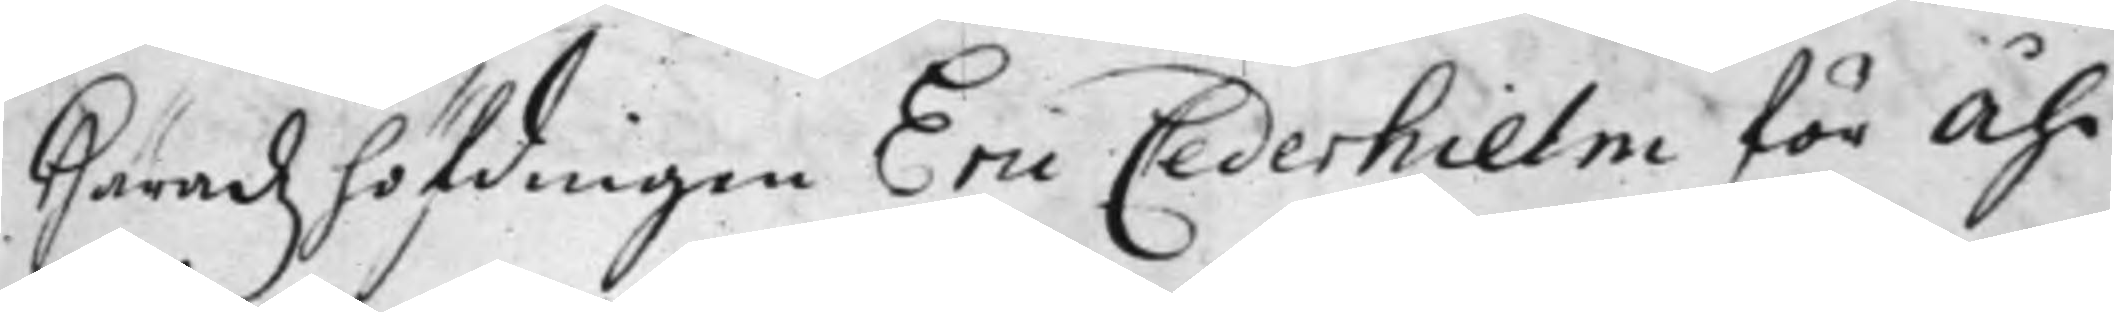Häradz höfdingen Eric Cederhielm för Åhr
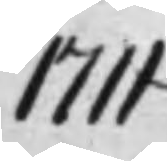1711
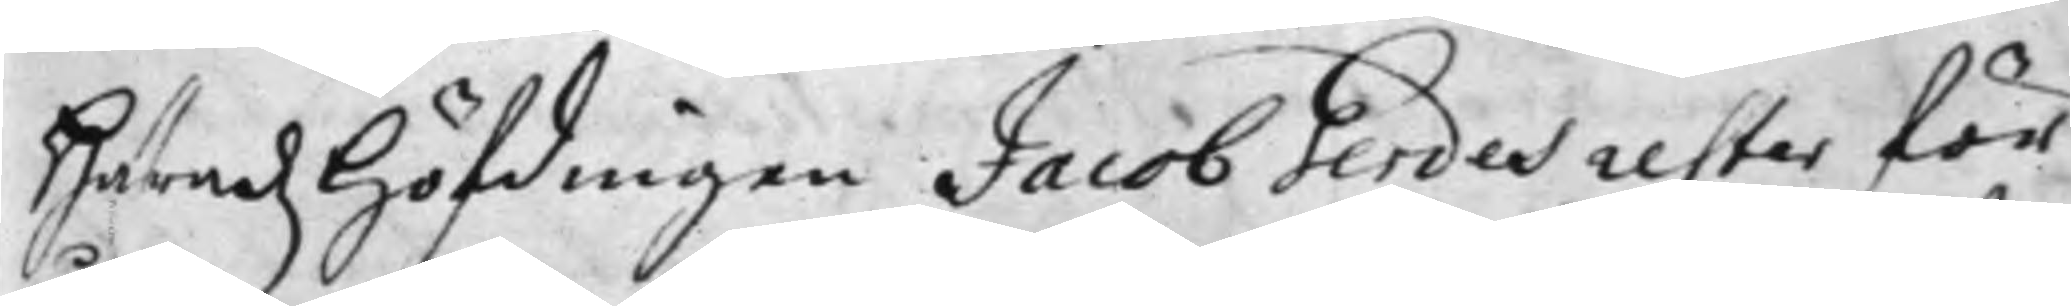Häradz Höfdingen Jacob Gerdes rester för
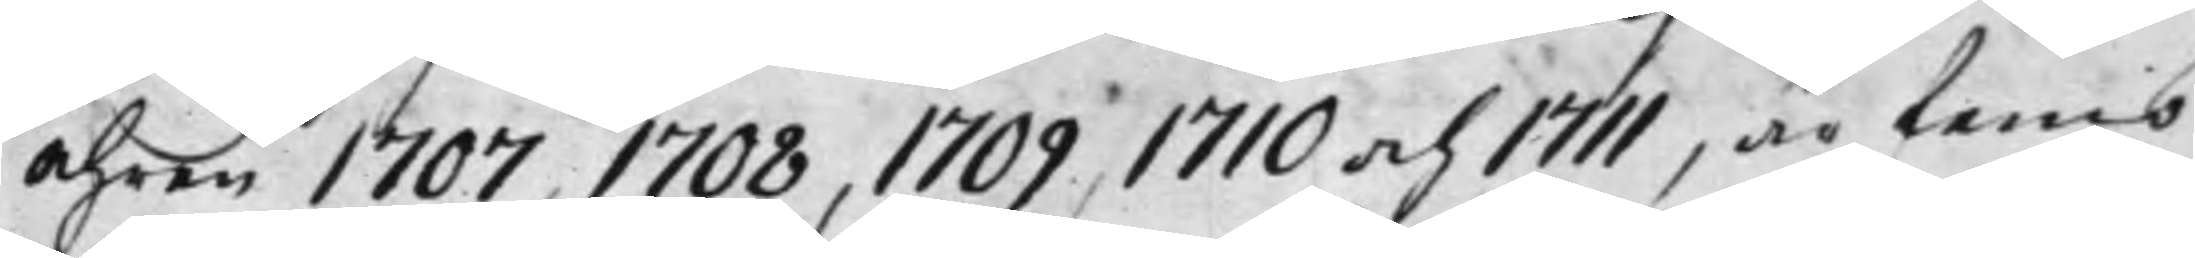Åhren 1707, 1708, 1709, 1710 och 1711, är femb
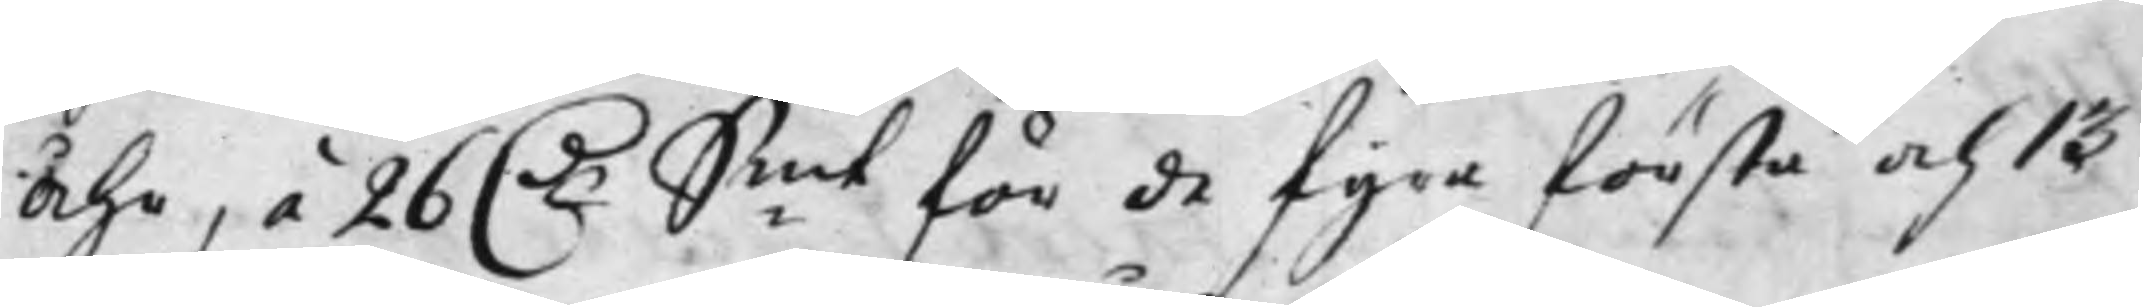Åhr, á 26 D.r S:mt för de fyra första och 13
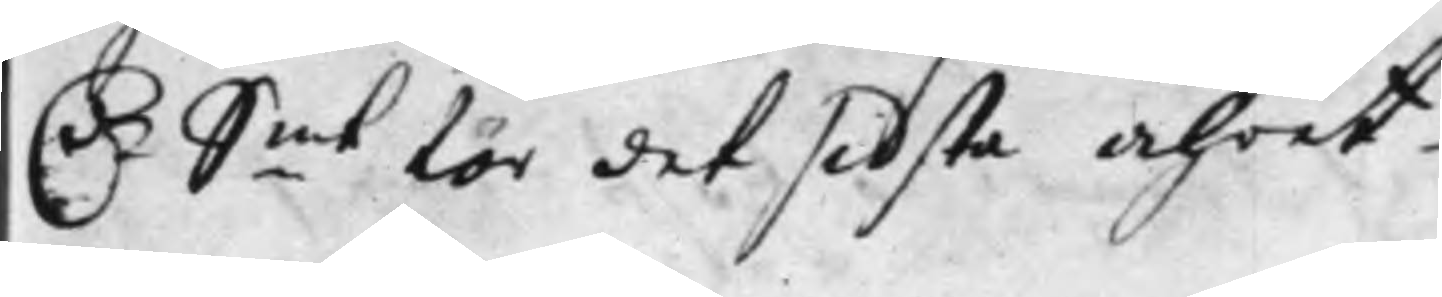D.r S.mt för det sidsta Åhret
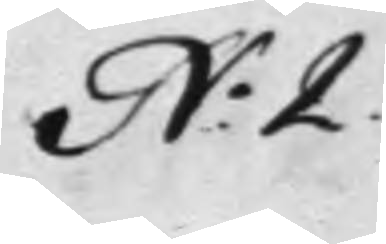N.o 2.
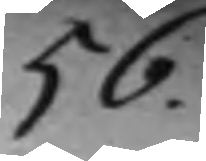56.
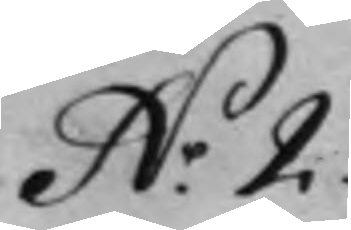N.o 2.
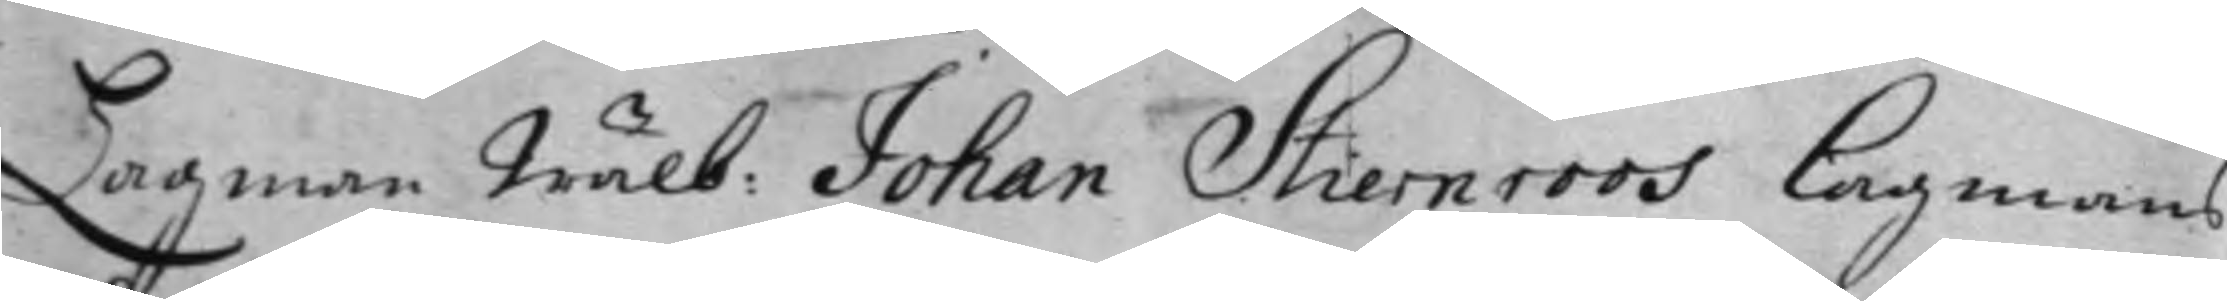Lagman Wälb: Johan Stiernroos Lagmans
